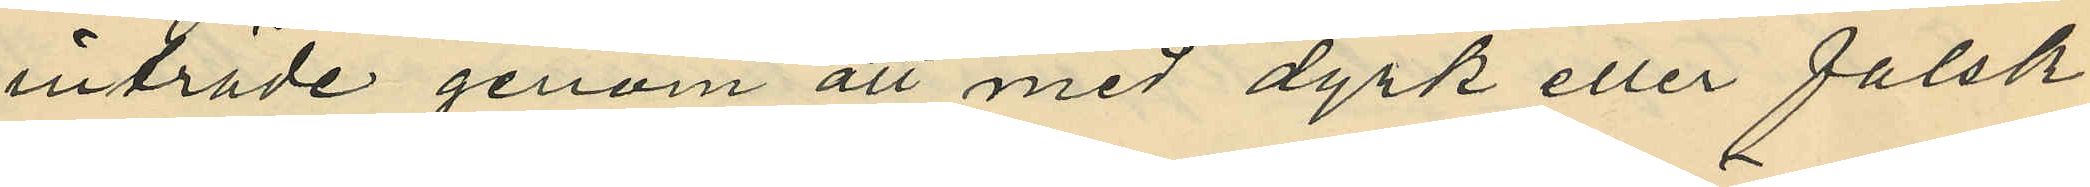inträde genom att med dyrk eller falsk
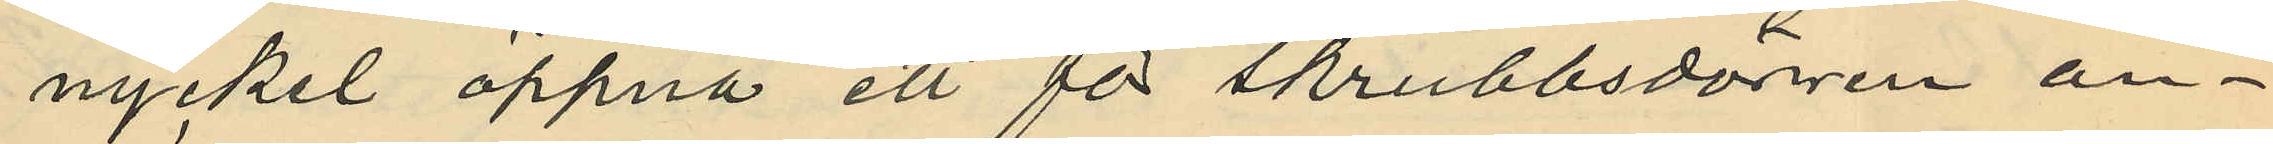nyckel öppna ett för skrubbsdörrren an¬
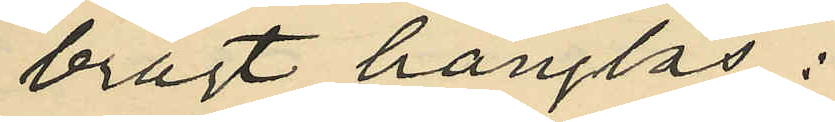bragt hänglås;
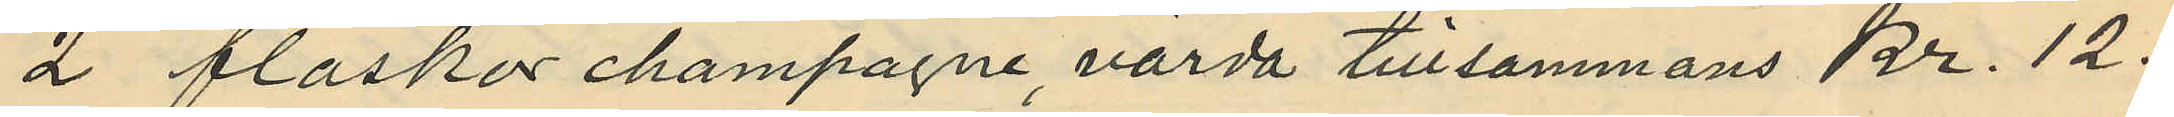2 flaskar champagne, värda tillsammans kr. 12:
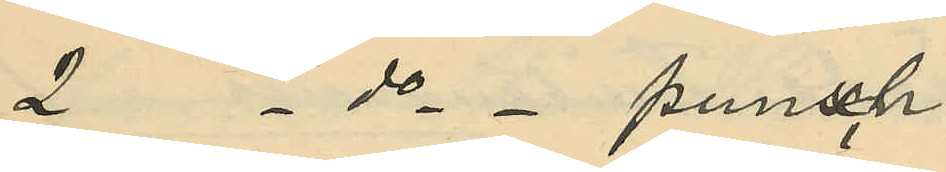2 - do - punsch
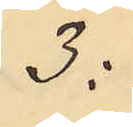3:
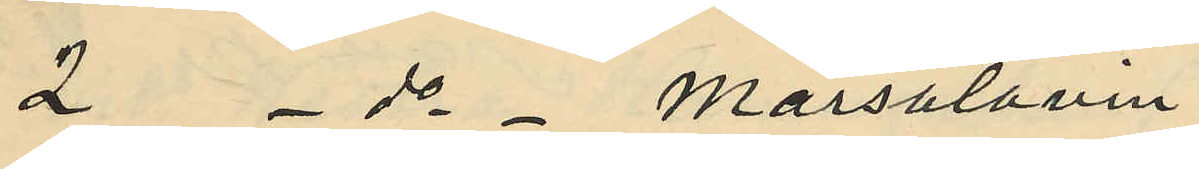2 - do - Marsalavin
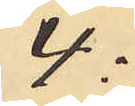4:
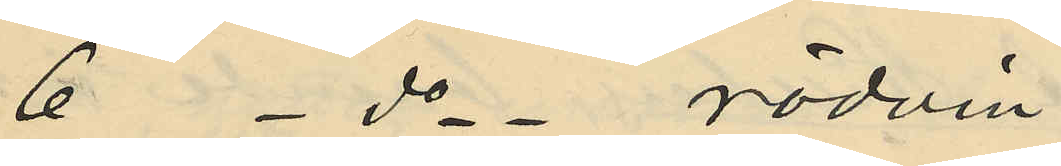6 - do - rödvin
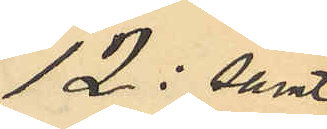12: samt
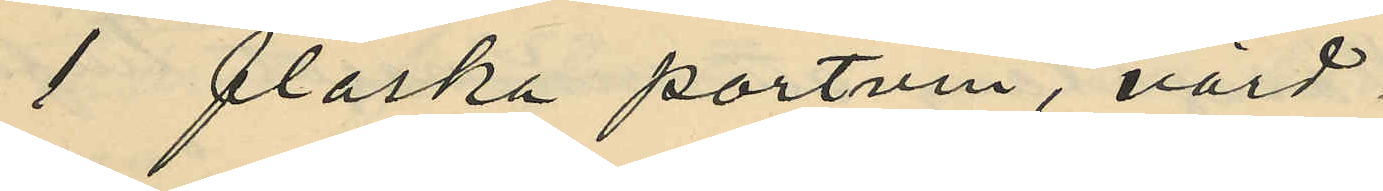1 flaska portvin, värd
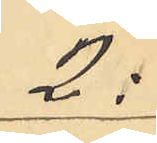2:
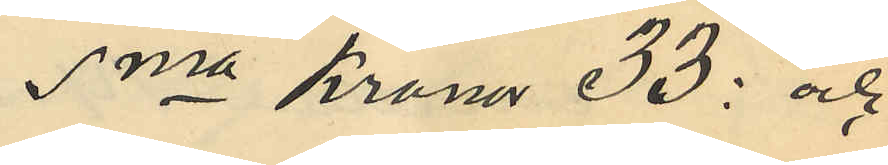Sma Kronor 33: och
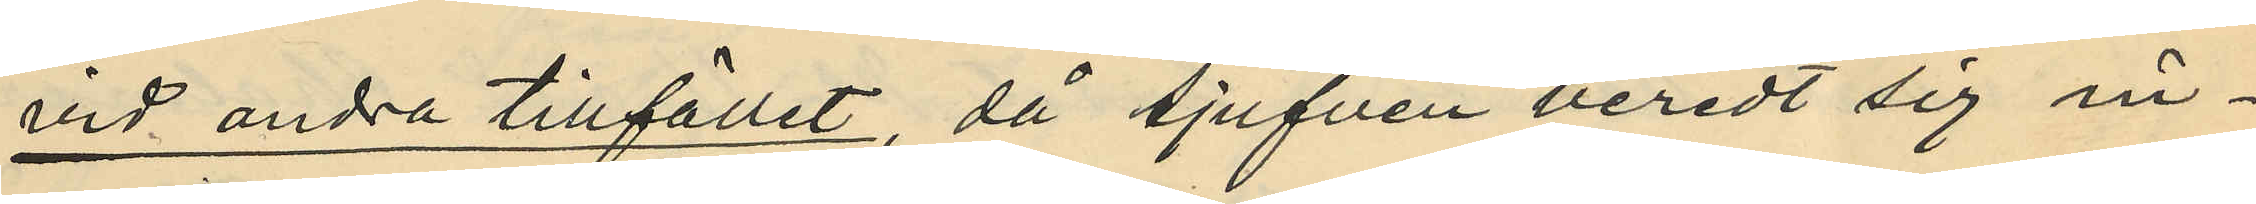vid andra tillfället, då tjufven beredt sig in¬
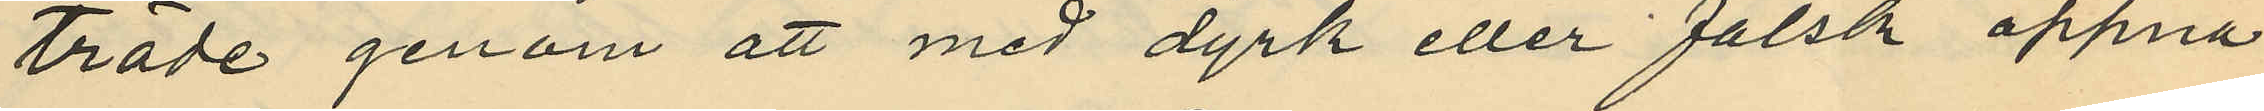träde genom att med dyrk eller falsk öppna
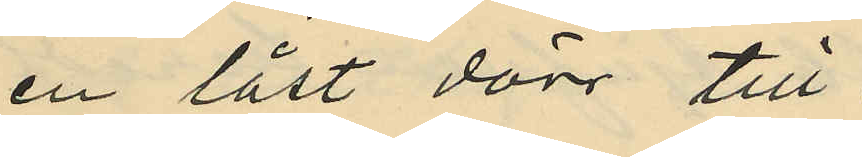en låst dörr till
